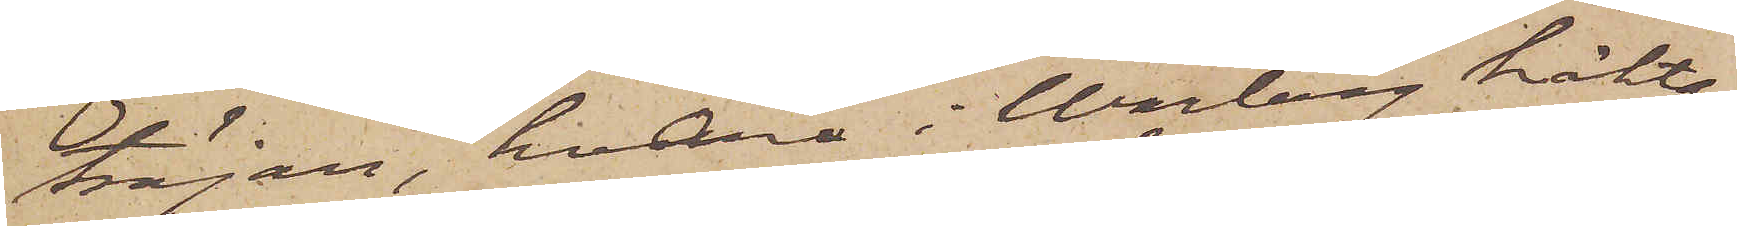tröjan, hvarå i Warberg häkta¬
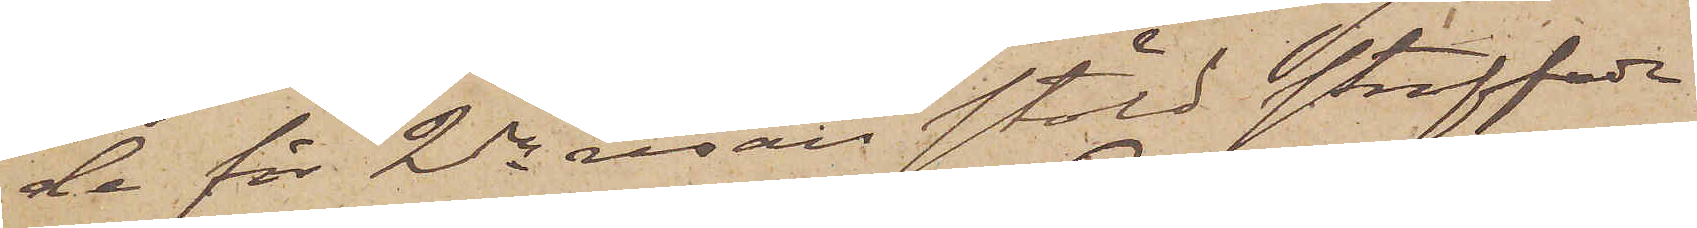de för 2dra resan stöld straffade
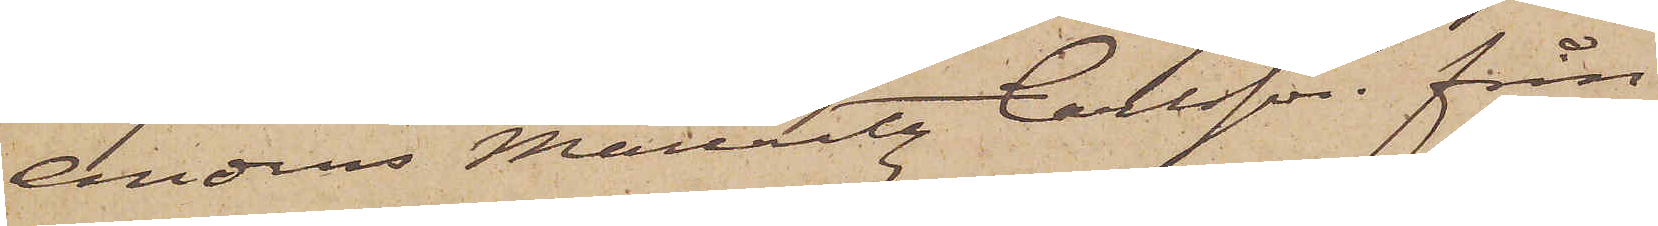Anders Mauritz Carlsson från
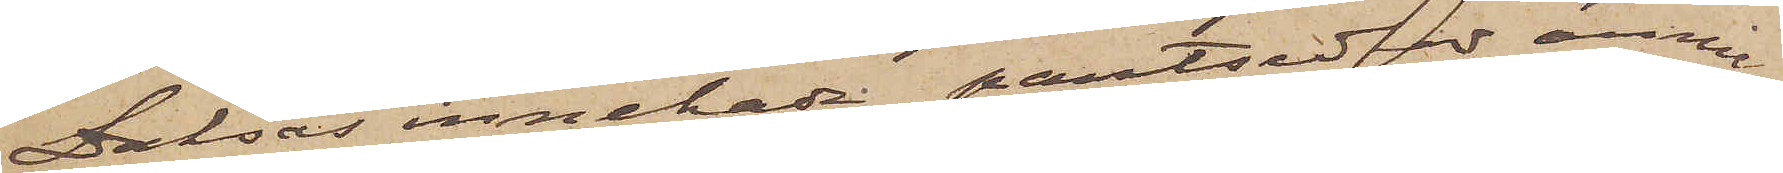Dalsås innehade pantsedlar ännu
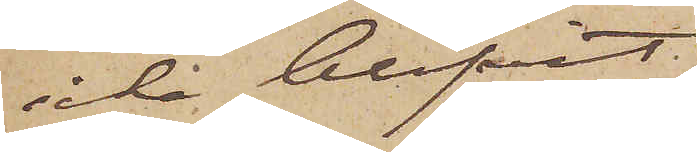icke blifvit
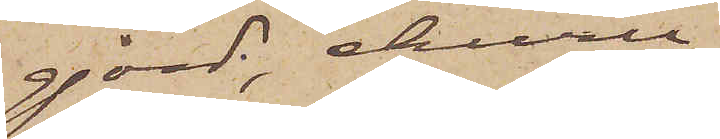gjord, ehuru
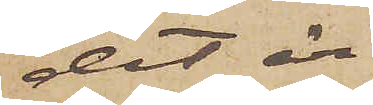det är
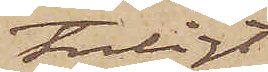troligt
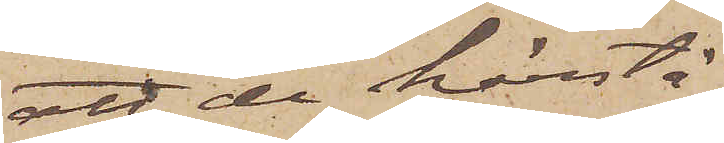att de härstä¬
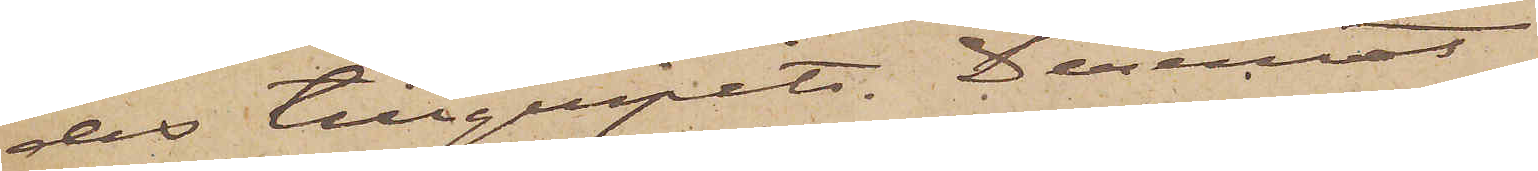des tillgripits. Deremot
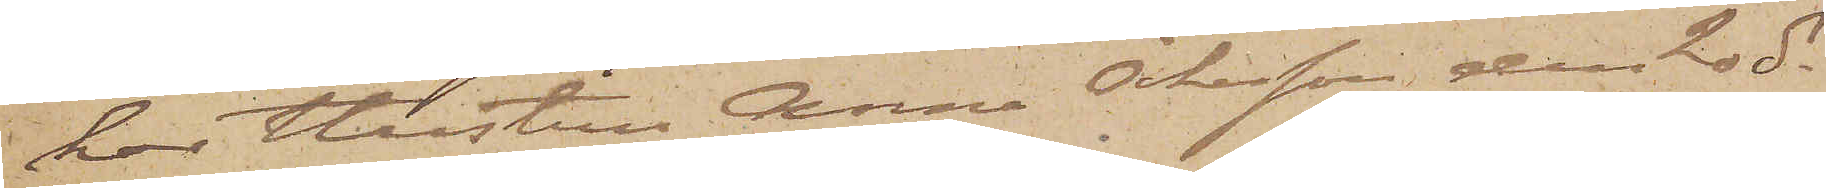har hustru Anna Åkesson den 20 ds
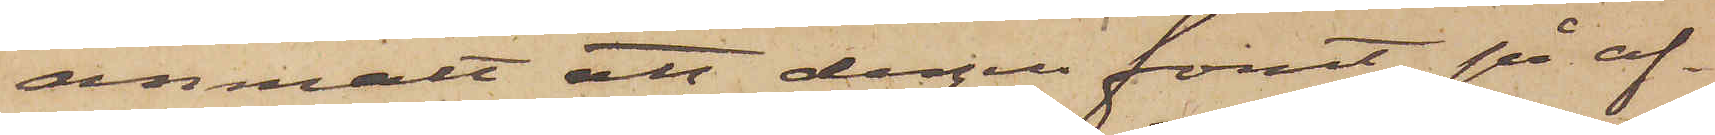anmält att dagen förut på af¬
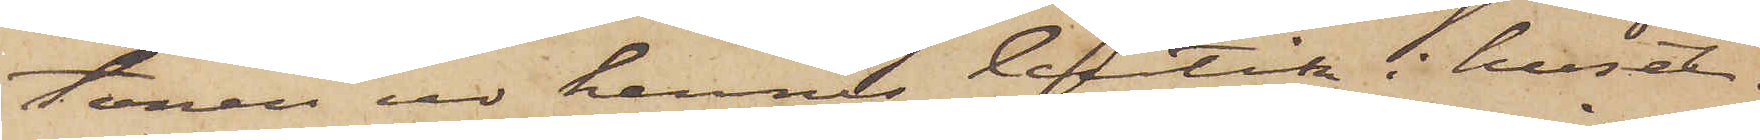tonen ur hennes butik i huset
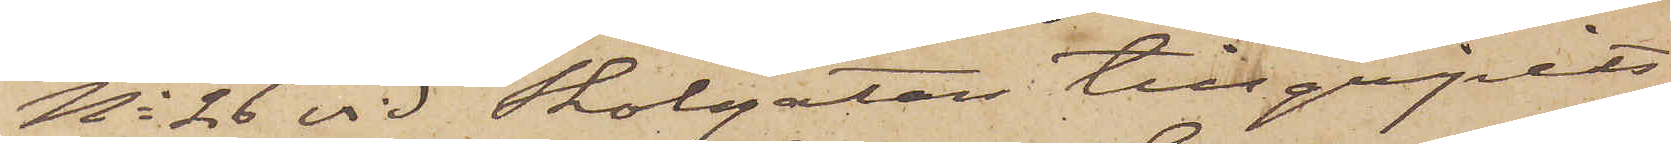No 26 vid Skolgatan tillgripits
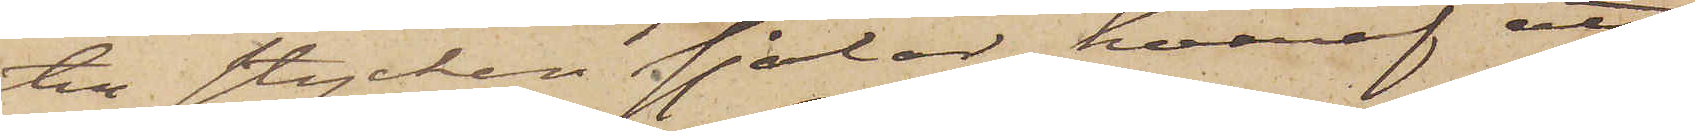till stycken sjalar, hvaraf att
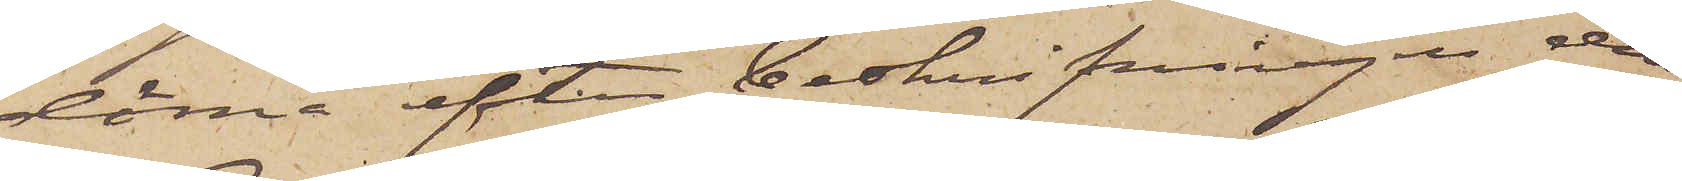döma efter beskrifningen den
